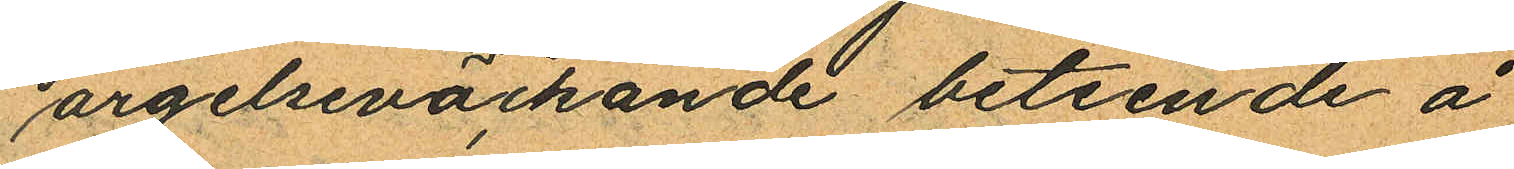argelseväckande beteende å
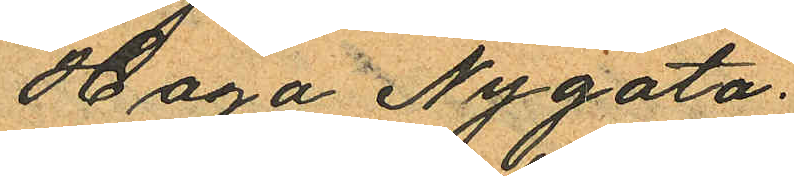Haga Nygata.
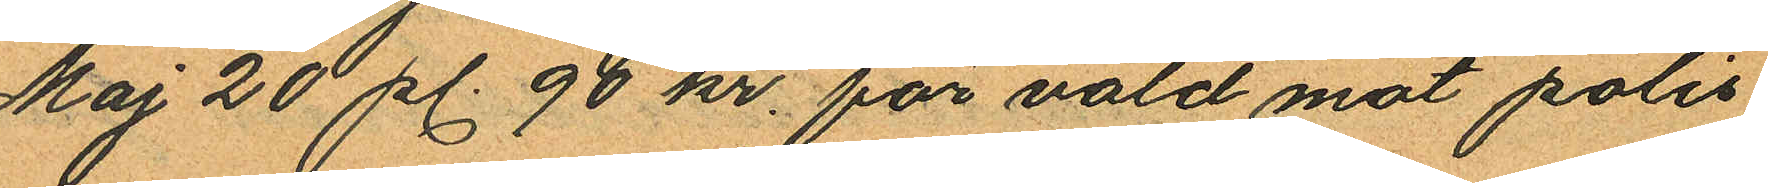Maj 20 pl. 90 kr. för våld mot polis
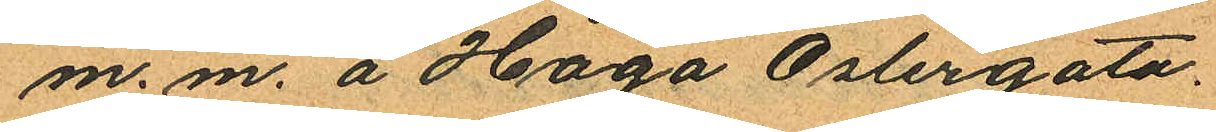m.m. å Haga Oslergata.
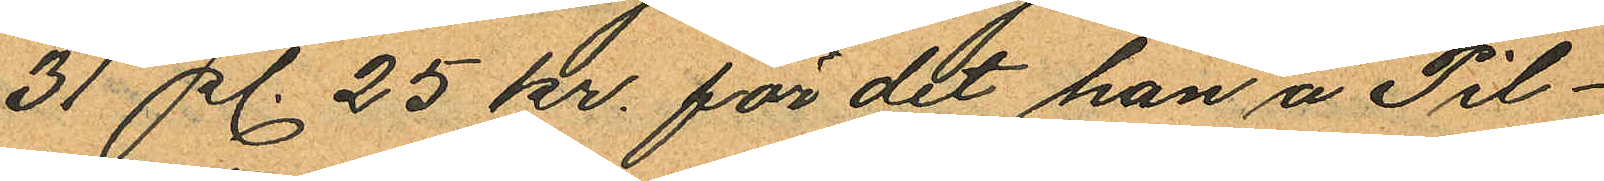31 pl. 25 kr. för det han å Pil¬
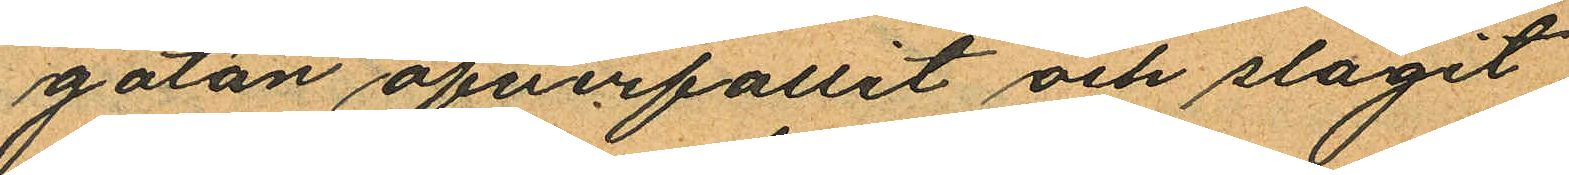gatan öfverfallit och slagit
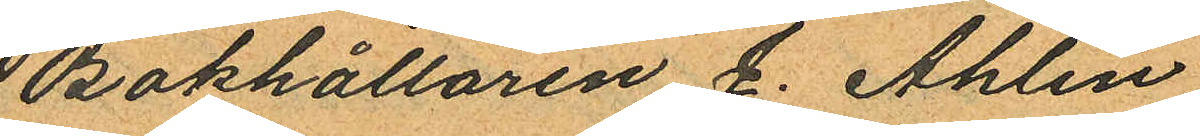Bokhållaren J. Ahlin
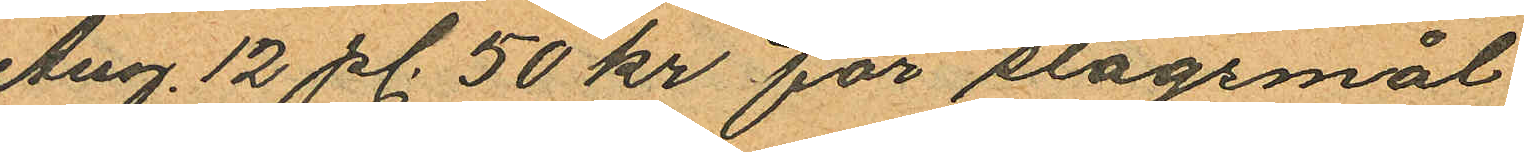Aug. 12 pl. 50 kr för slagsmål
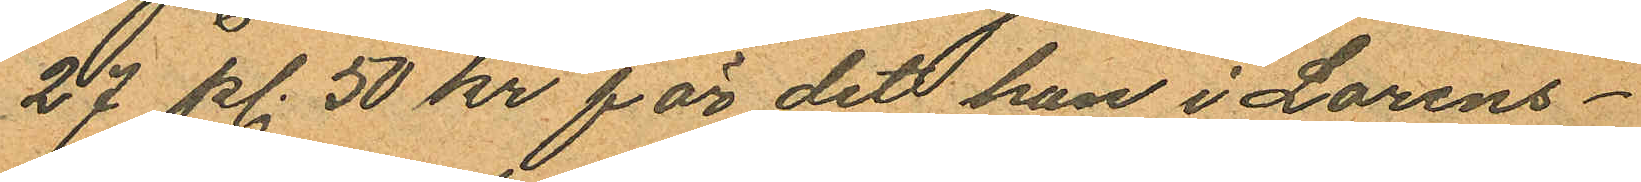27 pl. 50 kr för det han i Lorens¬
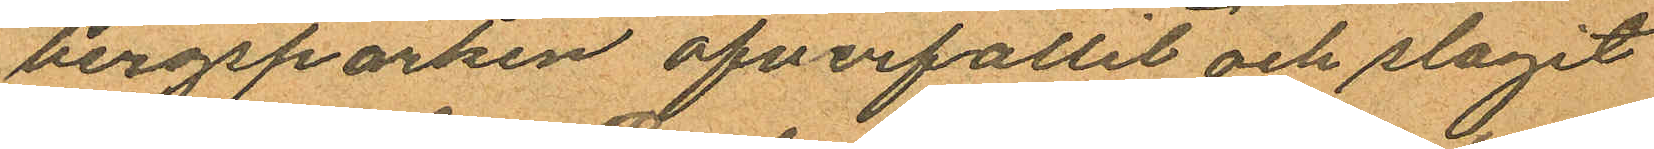bergsparken öfverfallit och slagit
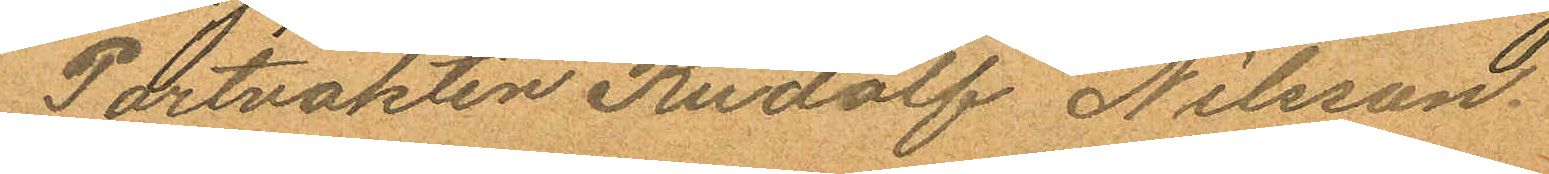Portvakten Rudolf Nilsson.
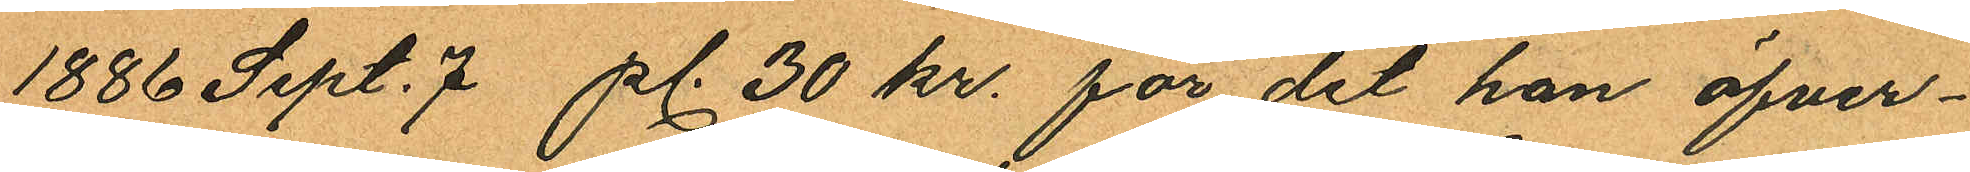1886 Sept. 7 pl. 30 kr. för det han öfver¬
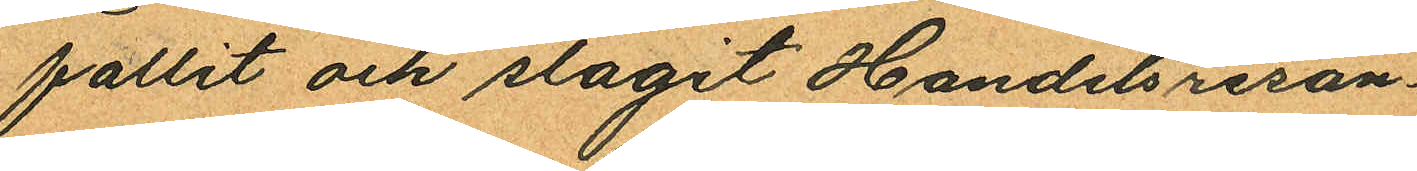fallit och slagit Handelsresan¬
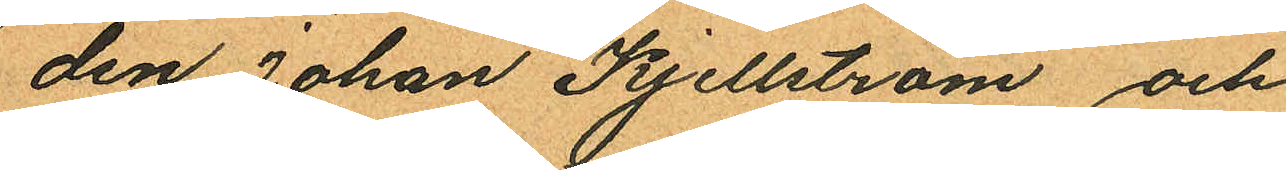den Johan Kjellström och
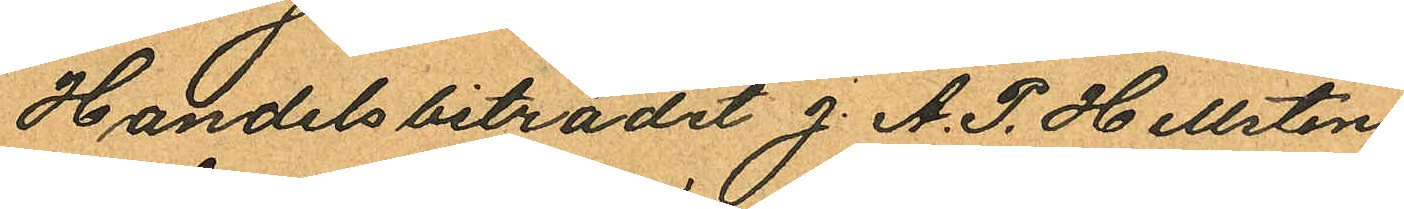Handelsbiträdet J. A. P. Hellsten
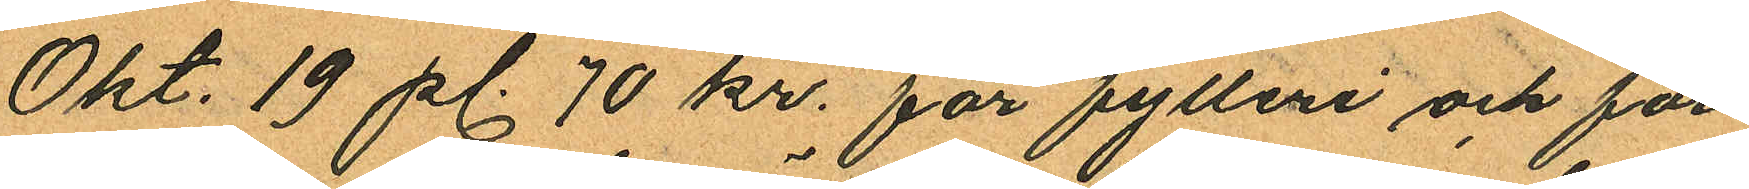Okt. 19 pl. 70 kr. får fylleri och för¬
